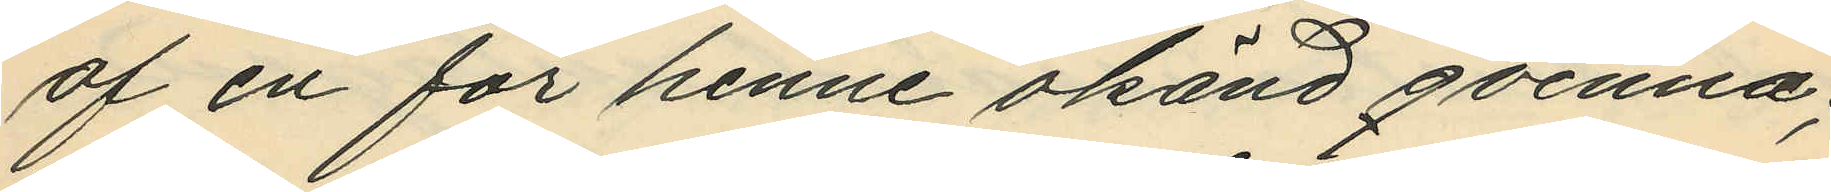af en för henne okänd qvinna;
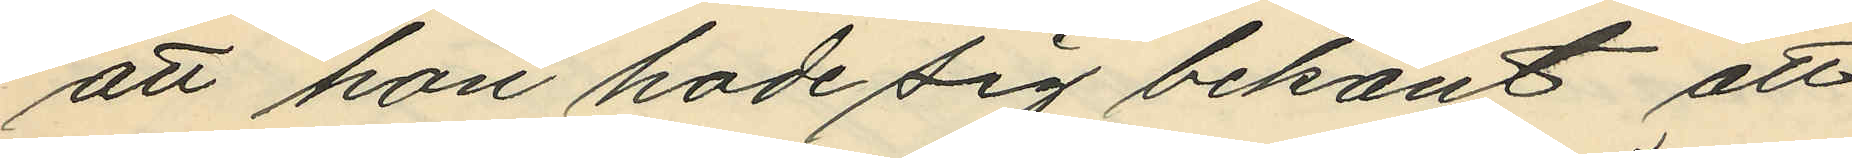att hon hade sig bekant att
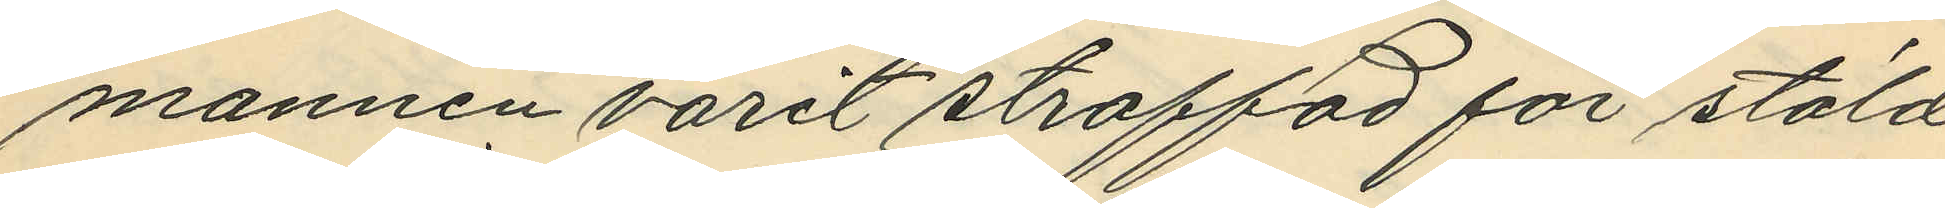mannen varit straffad för stöld
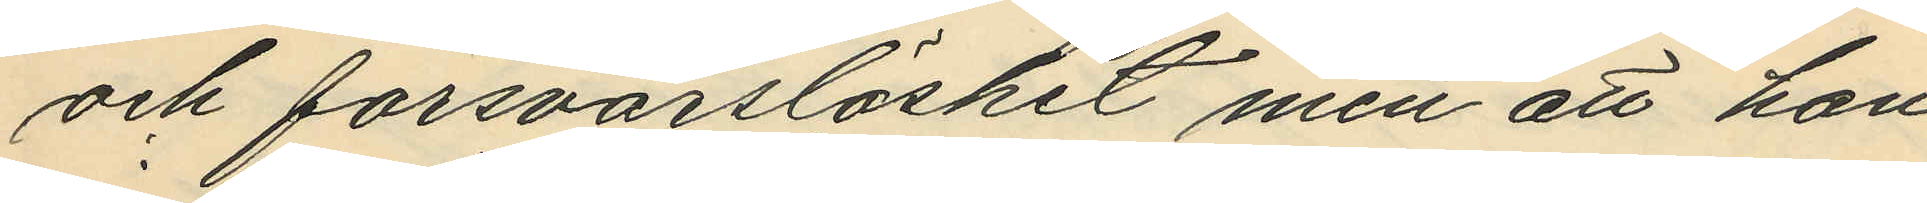och försvarslöshet men att hon
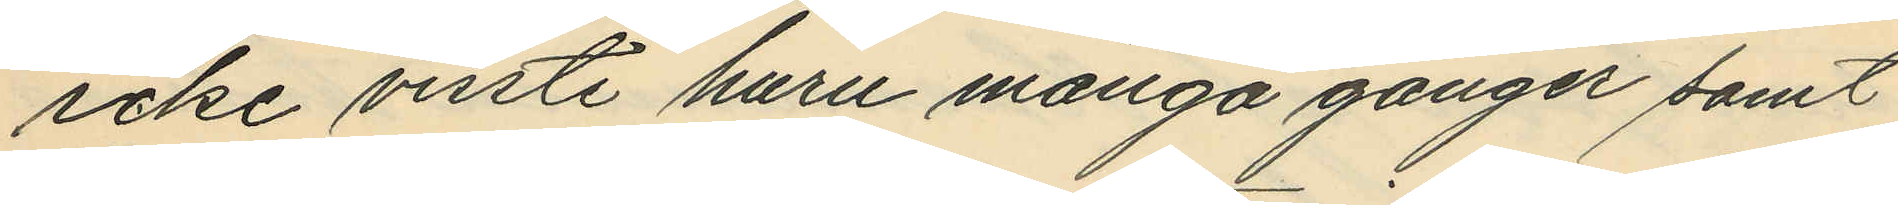icke visste huru många gånger samt
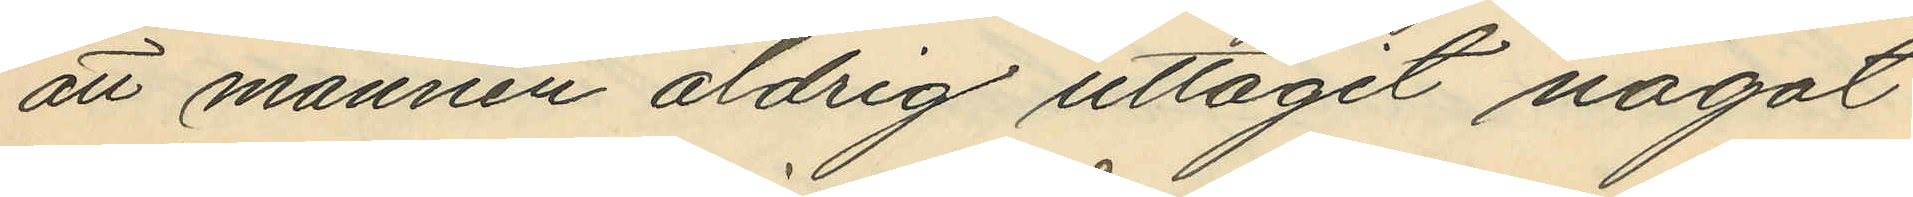att mannen aldrig uttagit något
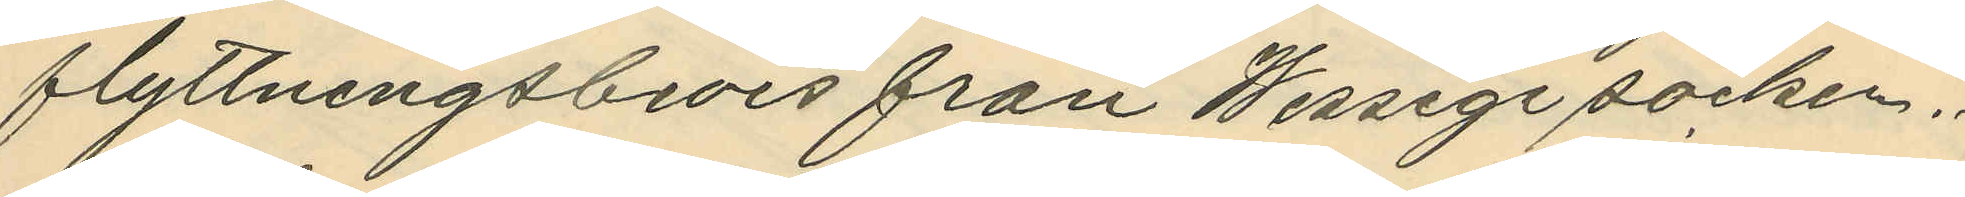flyttningsbevis från Wessige socken.
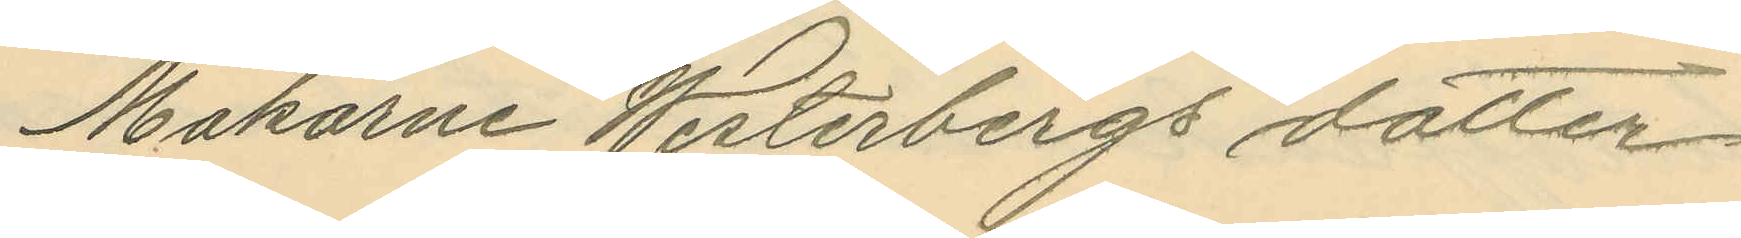Makarne Westerbergs dotter
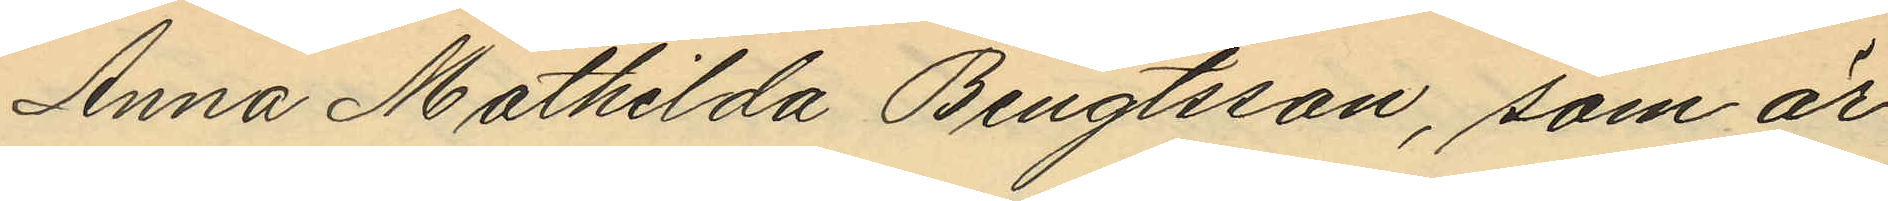Anna Mathilda Bengtsson, som är
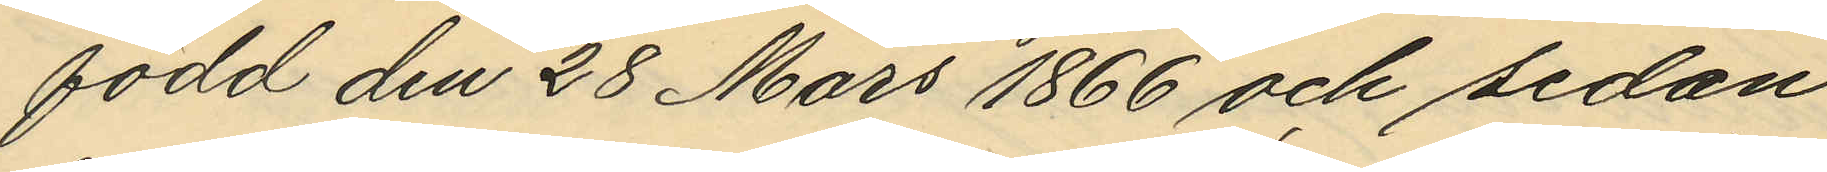född den 28 Mars 1866 och sedan
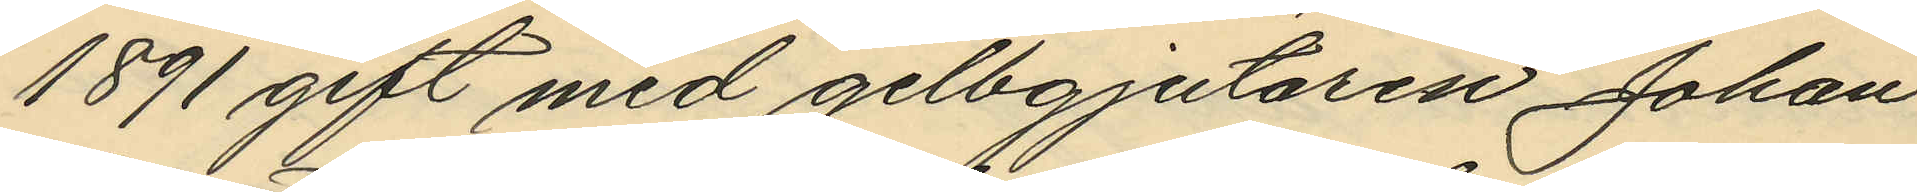1891 gift med gelbgjutaren Johan
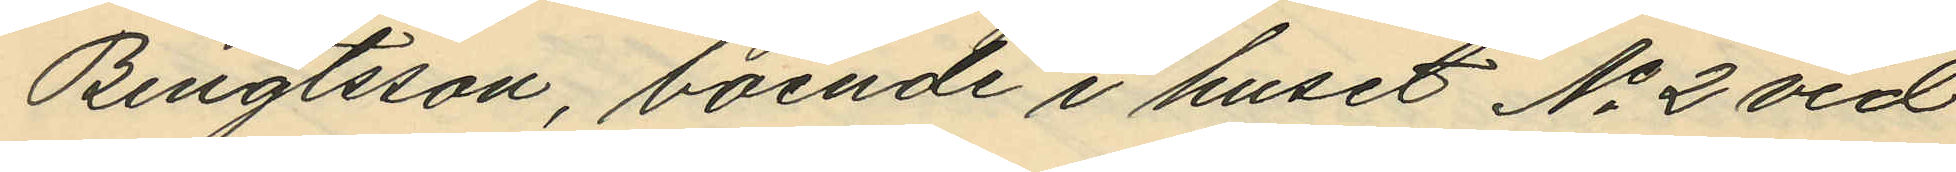Bengtsson, boende i huset No 2 vid
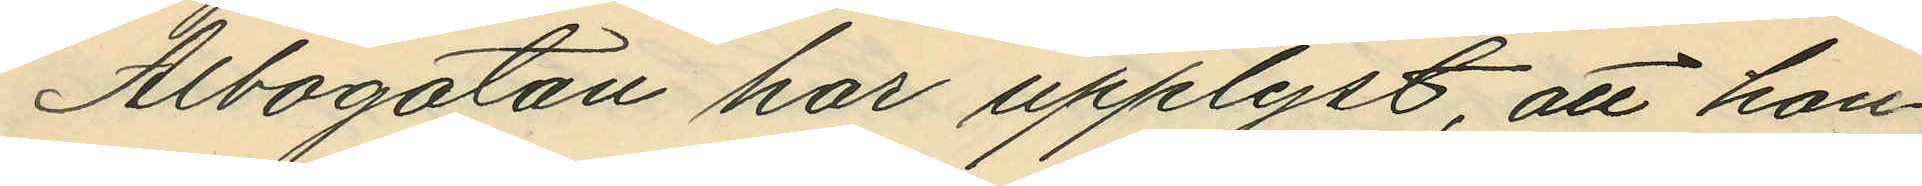Albogatan har upplyst, att hon
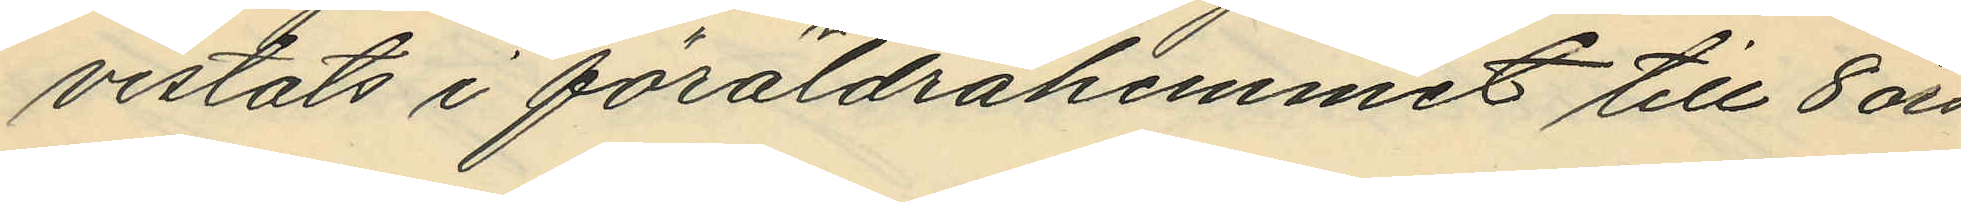vistats i föräldrahemmet till 8 års
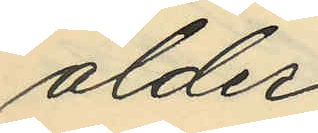ålder;
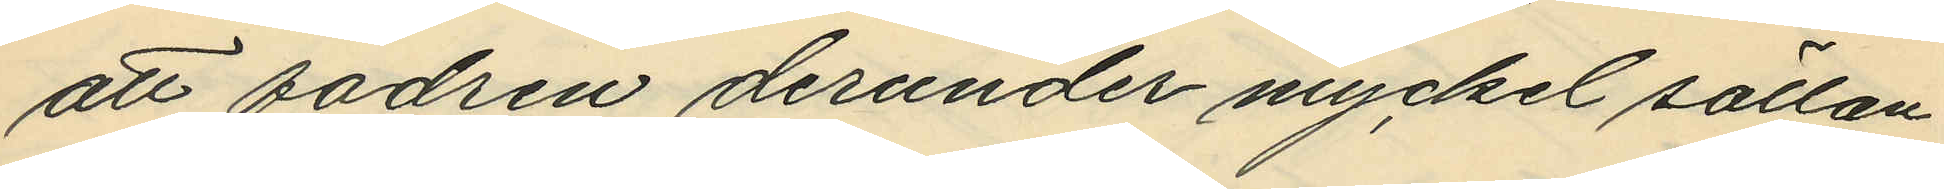att fadren derunder myckel sällan
